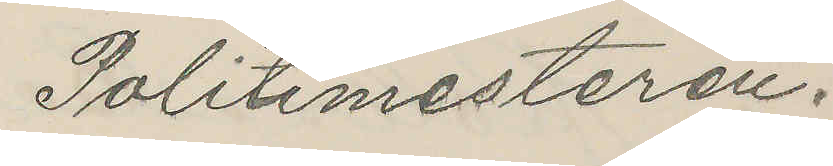Politimesteren.
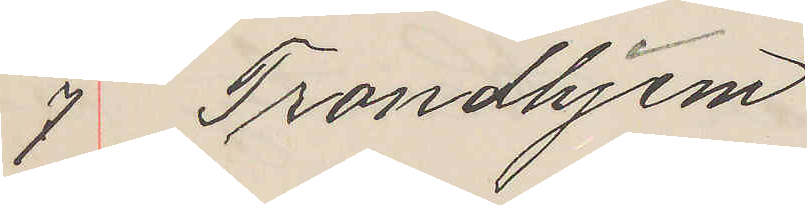7 Trondhjem
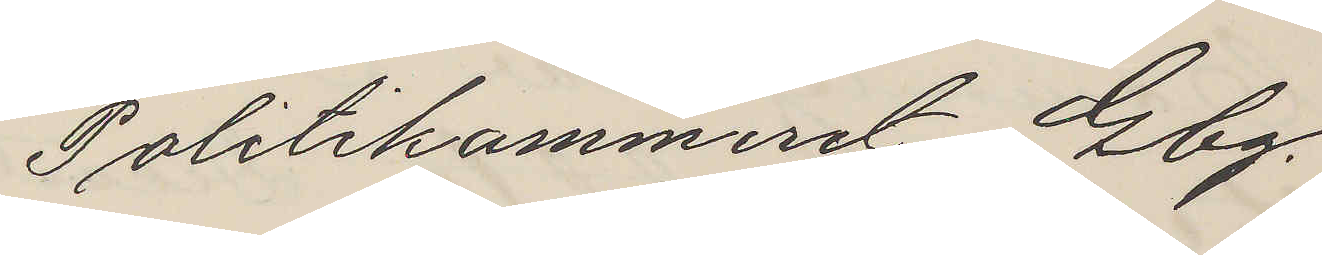Politikammeret Gbg.
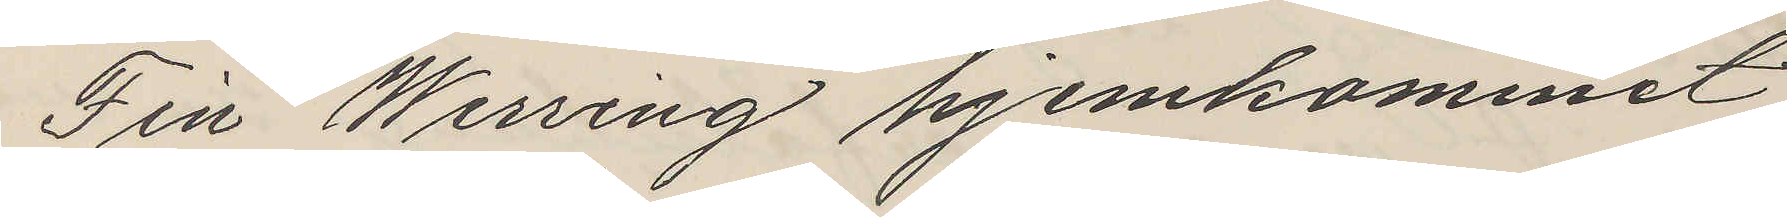Fin Werring hjemkommet
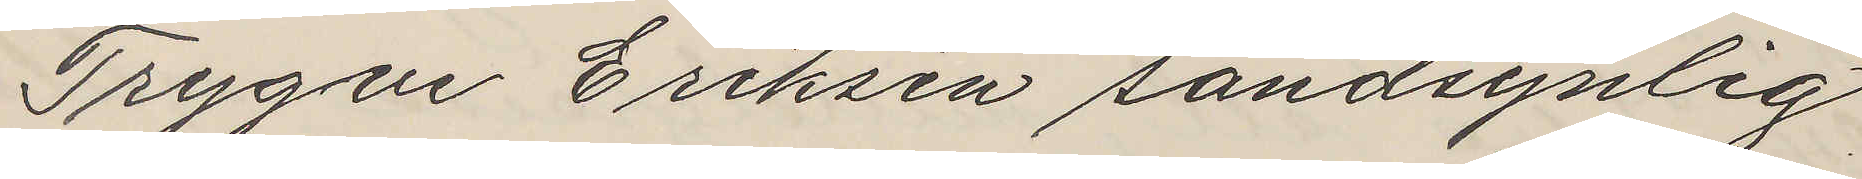Trygve Eriksen sandsynlig
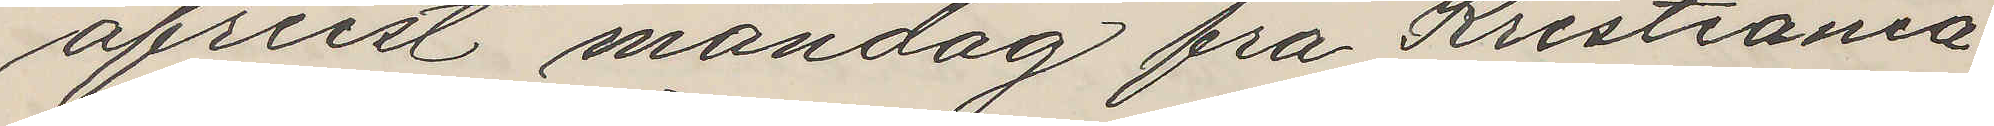afreist måndag fra Kristiania
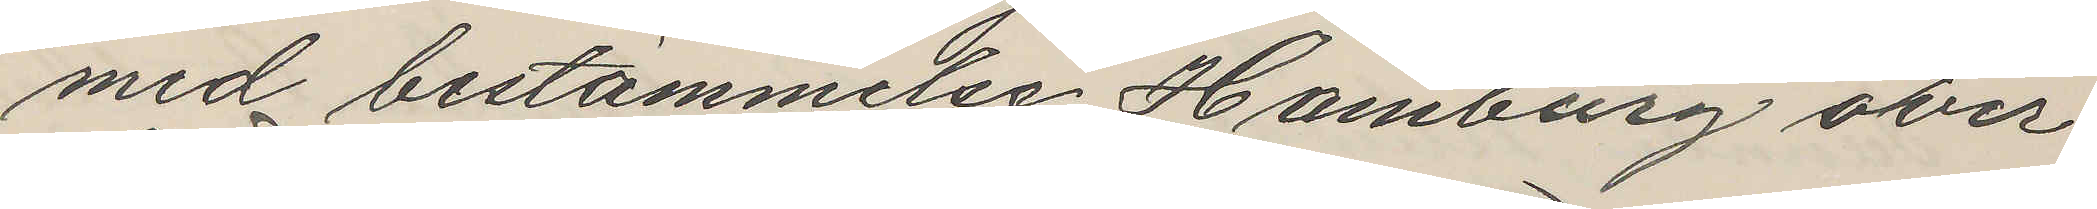med bestämmelse Hamburg over
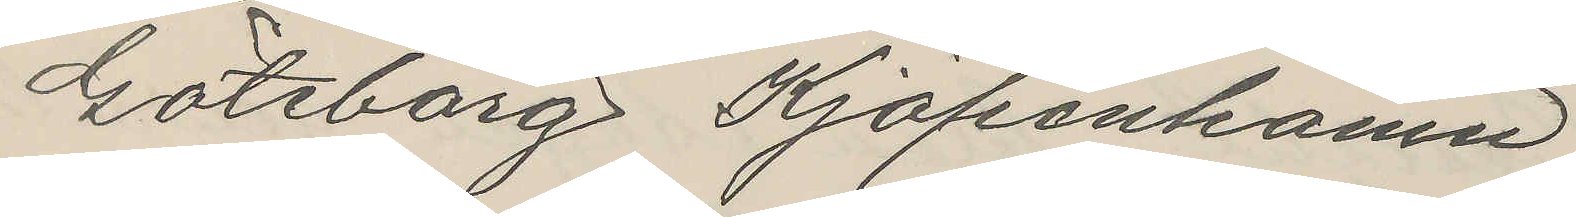Göteborg Kjöpenhamn
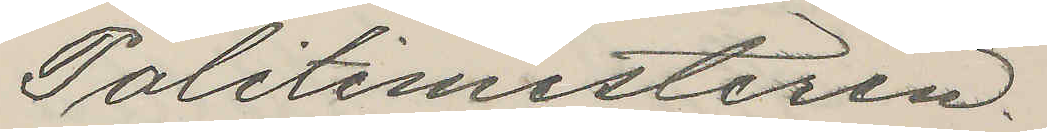Politimesteren.
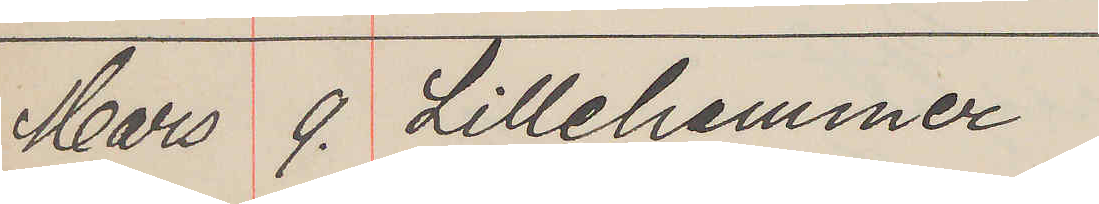Mars 9. Lillehammer
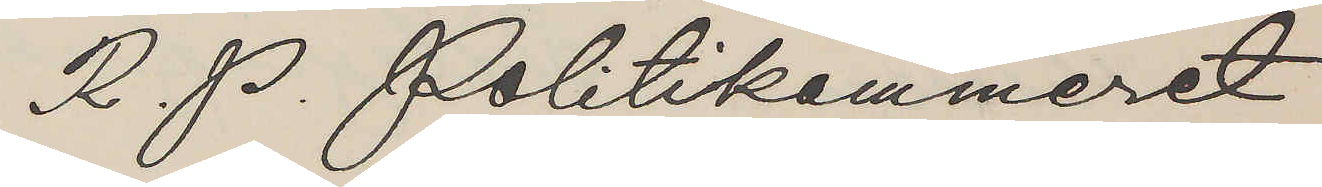R. P. Politikammeret
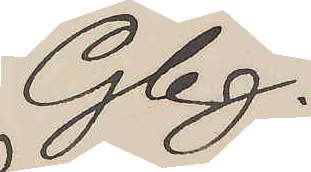Gbg.
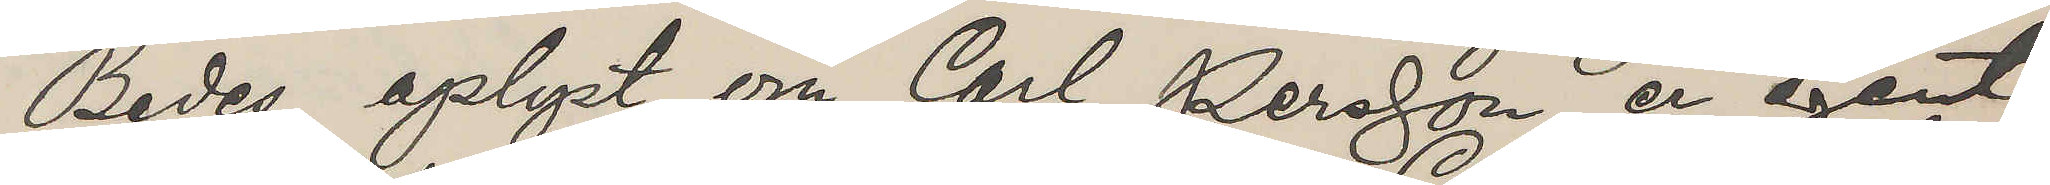Bedes oplyst om Carl Persson er agent
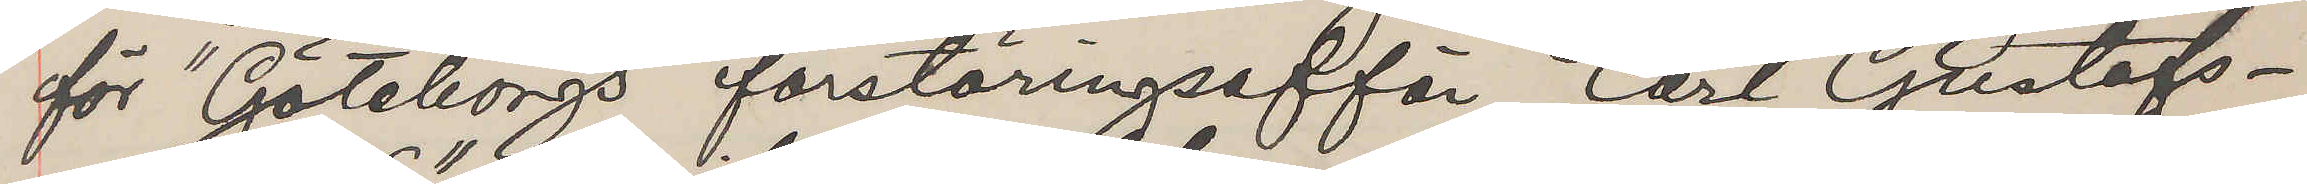för "Göteborgs förstöringsäffär Carl Gustafs¬
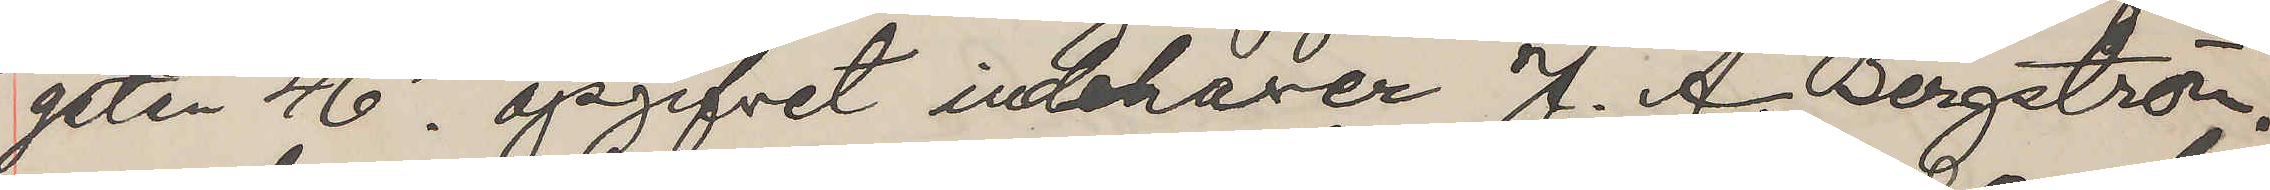gatan 46", opgifvet indehaver J. A. Bergström,
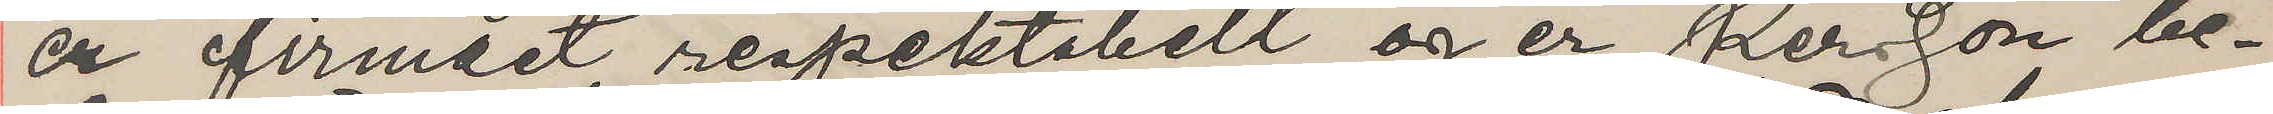er firmaet respektabelt og er Persson be¬
